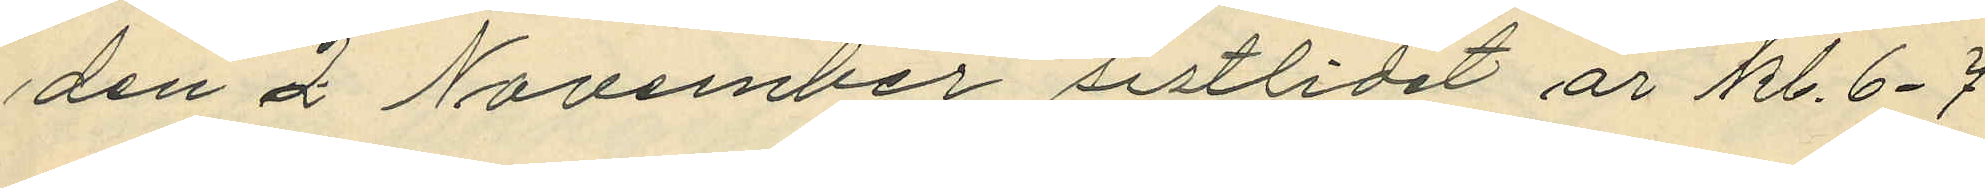den 2 November sistlidet år kl. 6-7
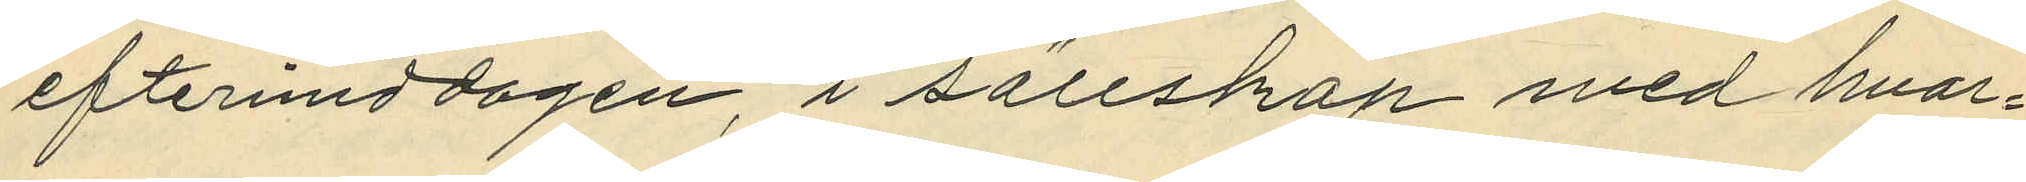eftermiddagen i sällskap med hvar¬
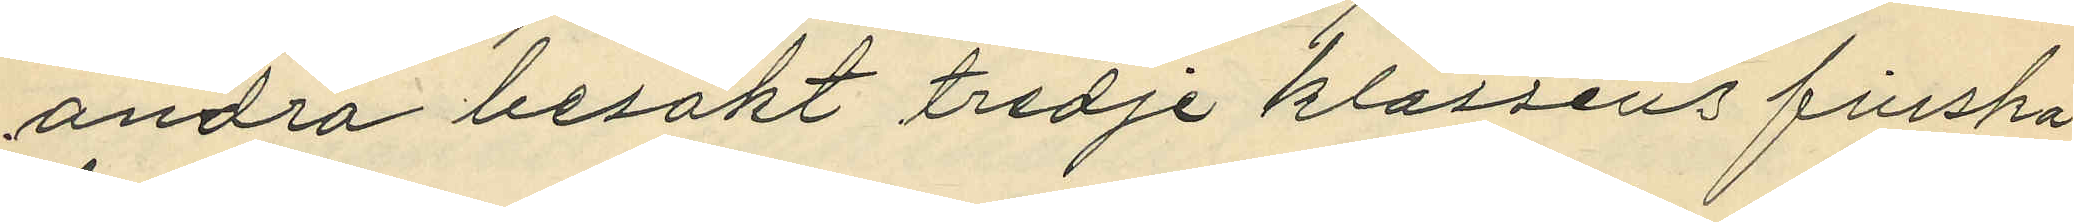andra besökt tredje klassens finska
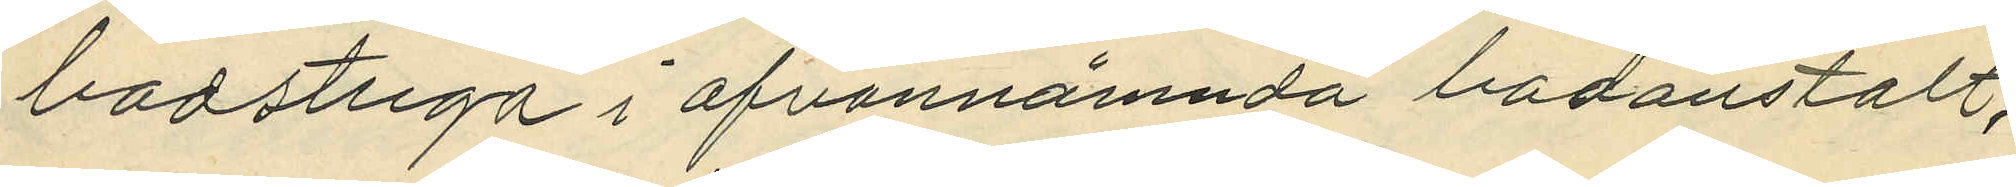badstuga i ofvannämnda badanstalt;
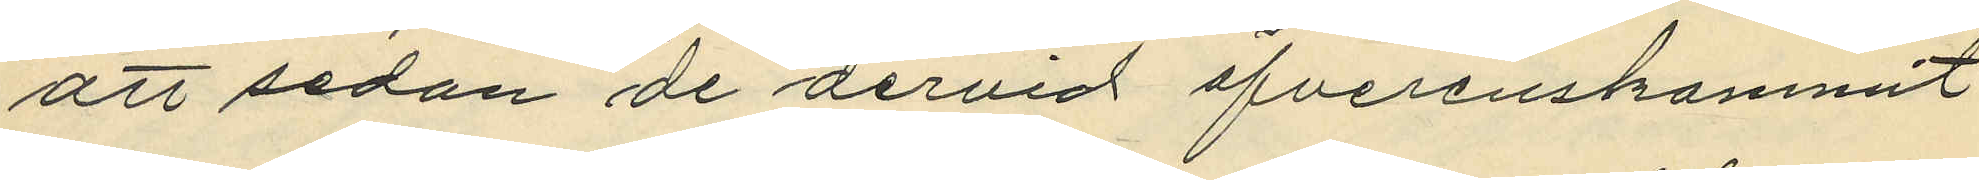att sedan de dervid öfverenskommit
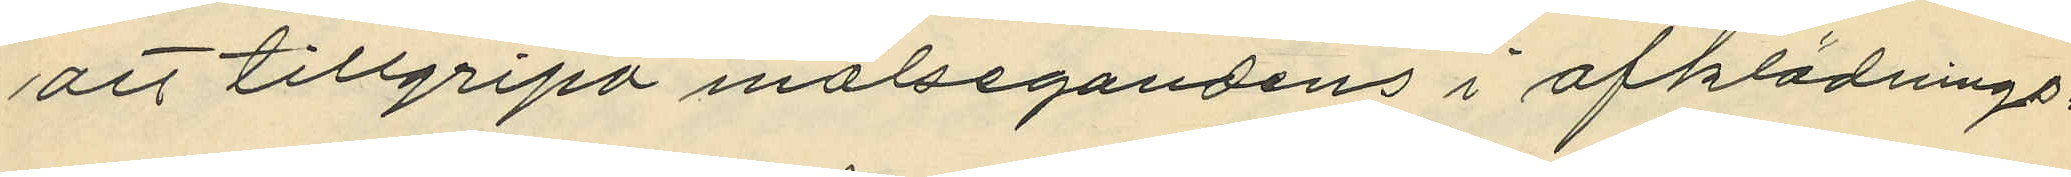att tillgripa målsegandens i afklädnings¬
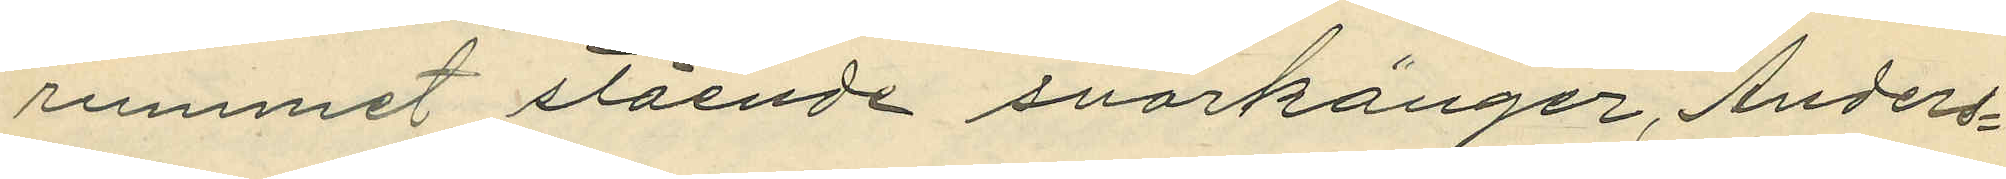rummet stående snörkängor, Anders¬
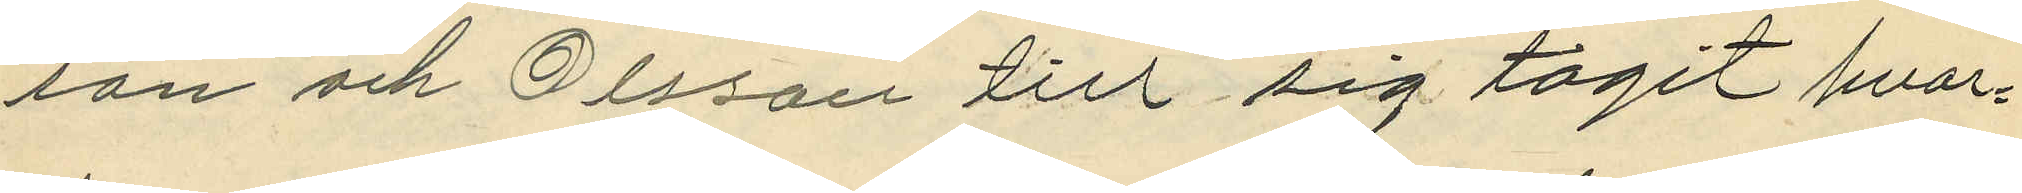son och Olsson till sig tagit hvar¬
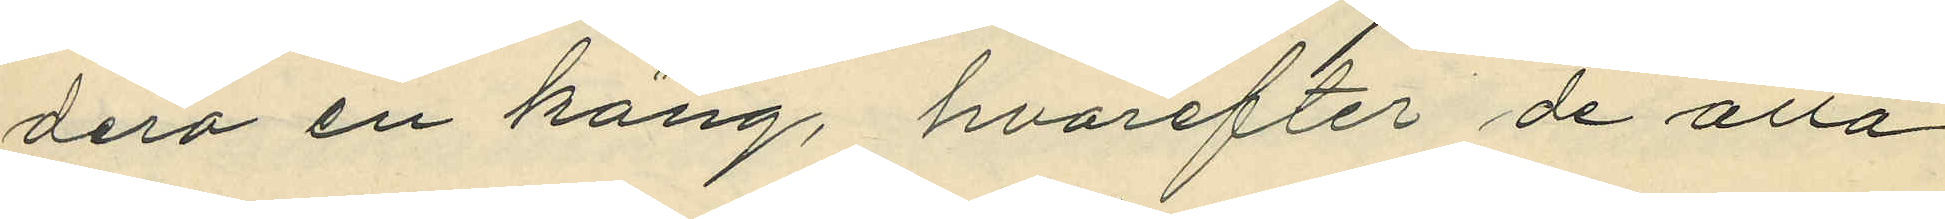dera en käng, hvarfter de alla
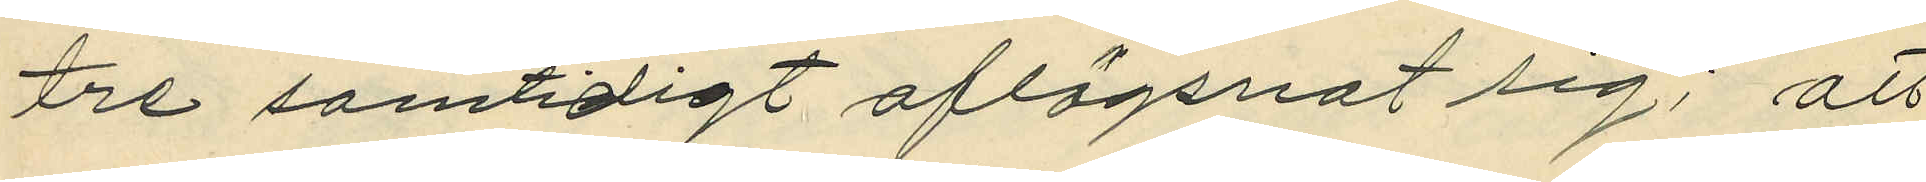tre samtidigt aflägsnat sig; att
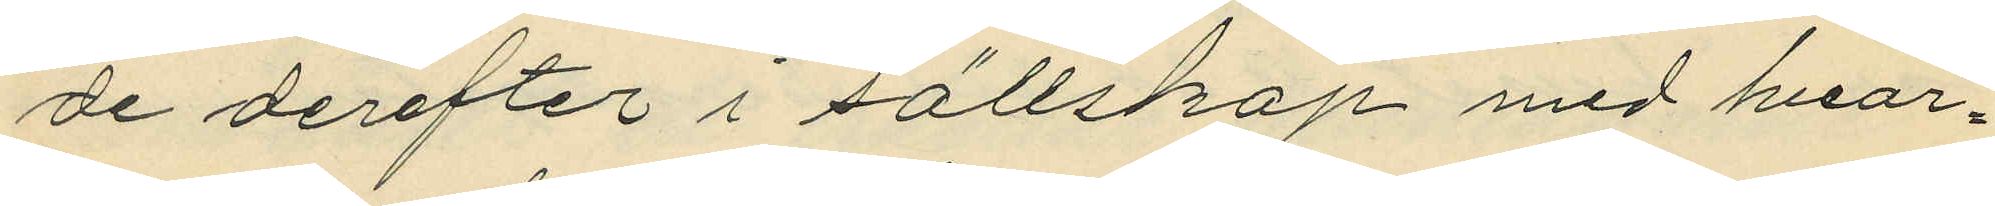de derefter i sällskap med hvar¬
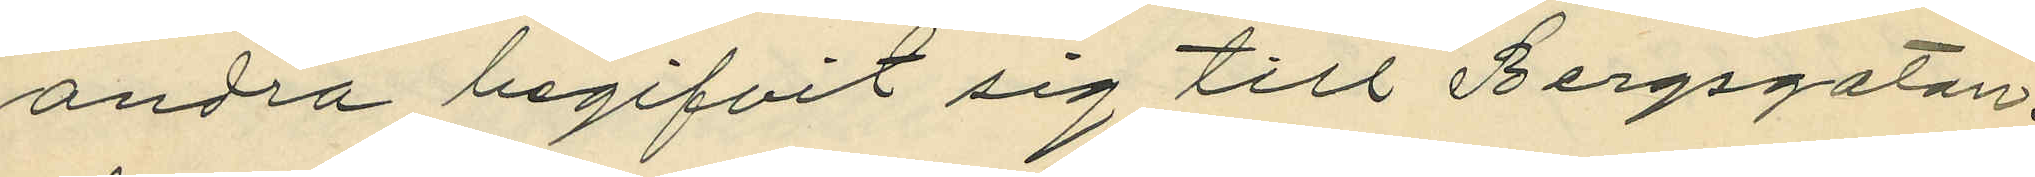andra begifvit sig till Bergsgatan,
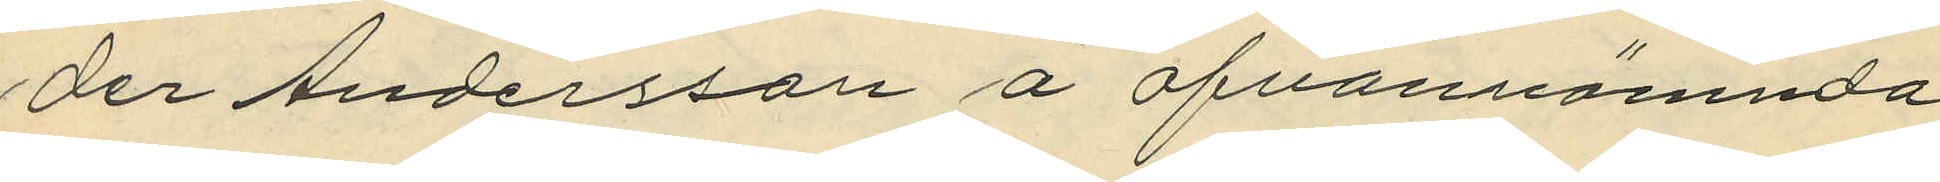der Andersson å ofvannämnda
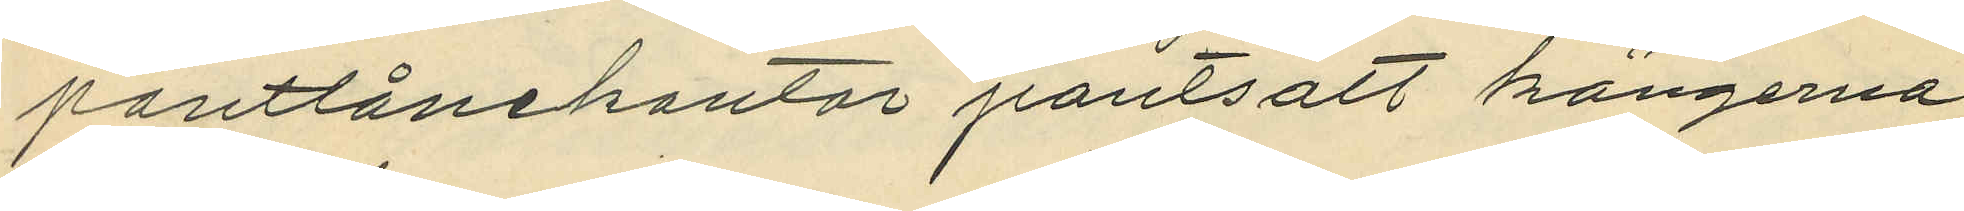pantlåningskontor pantsatt kängerna
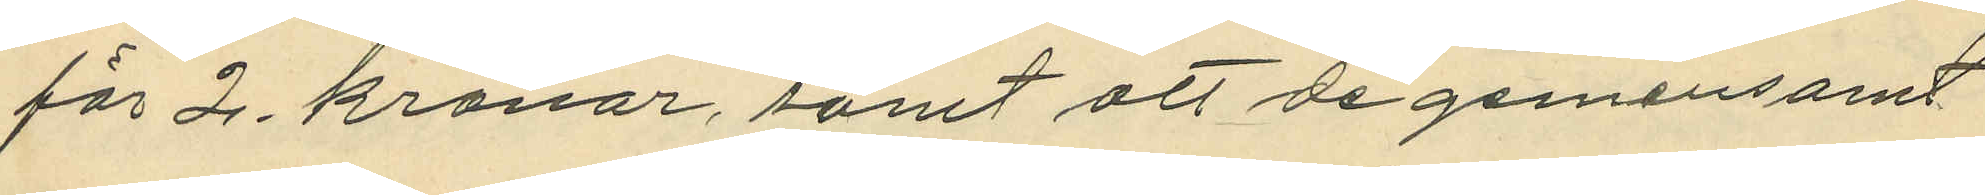för 2. kronor, samt att de gemensamt
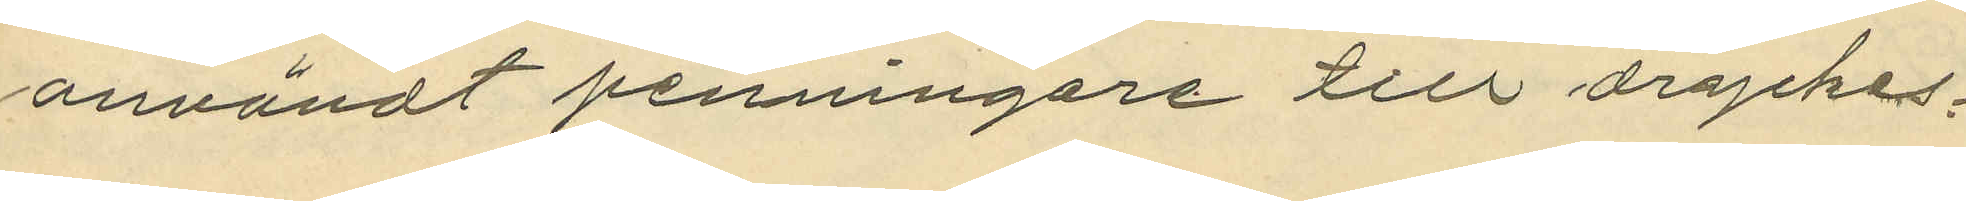användt penningarne till dryckes¬
